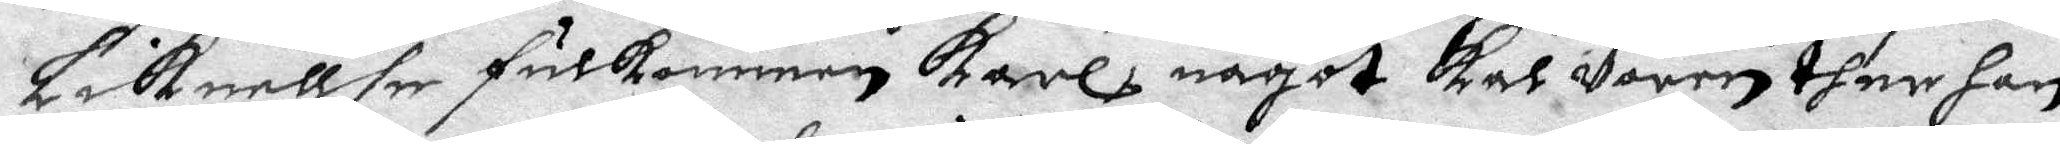Liknellse fulkommen karl, något kar Voren ther han
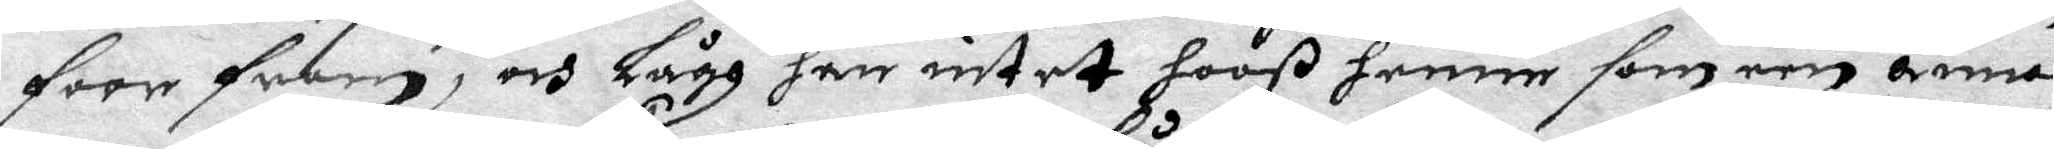forefram, och Lågh han intet hooß henne som een annan
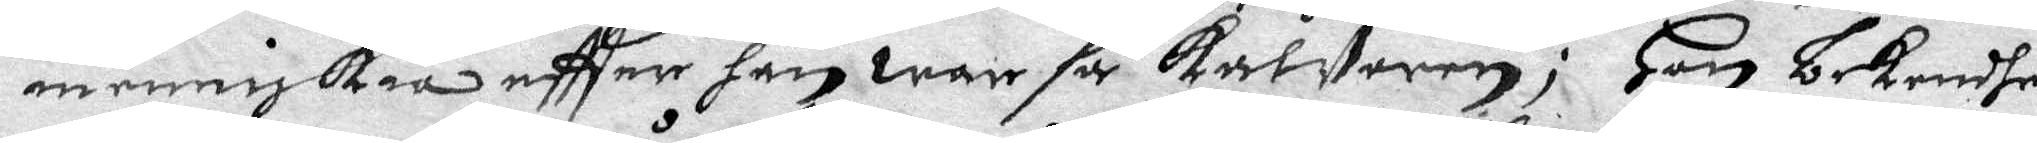menniskia eftter han war så kalVoren; Hon bekendhe
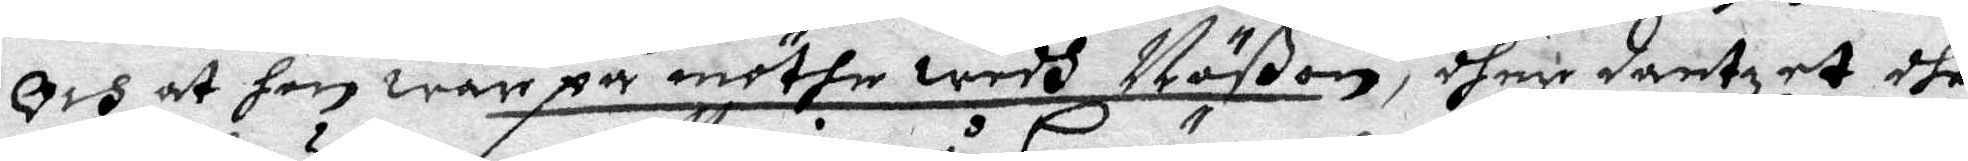och at hon war på möthe wedh Näßon, dher dantzat dhe
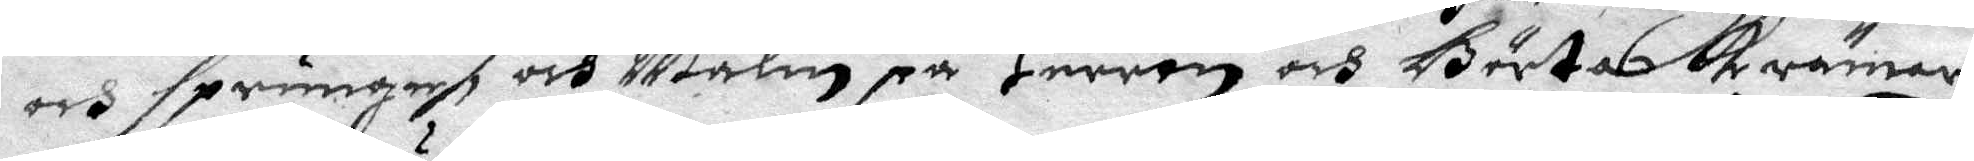och sprunge och Malin på Herrön och Börta Krämars
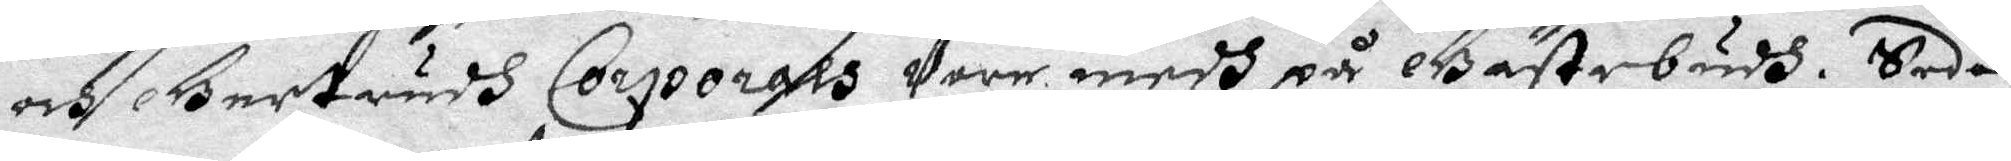och Gertrudh Corporalis Vore medh på Gästebudh. Sedan
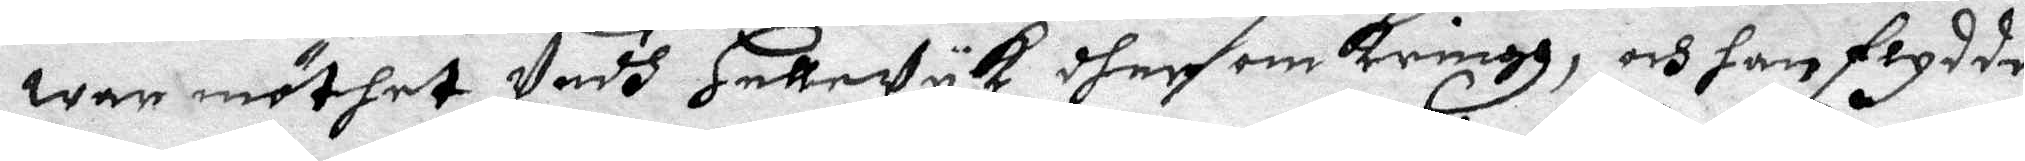war möthet Vedh Hellewyk dher om kringh, och han flydde
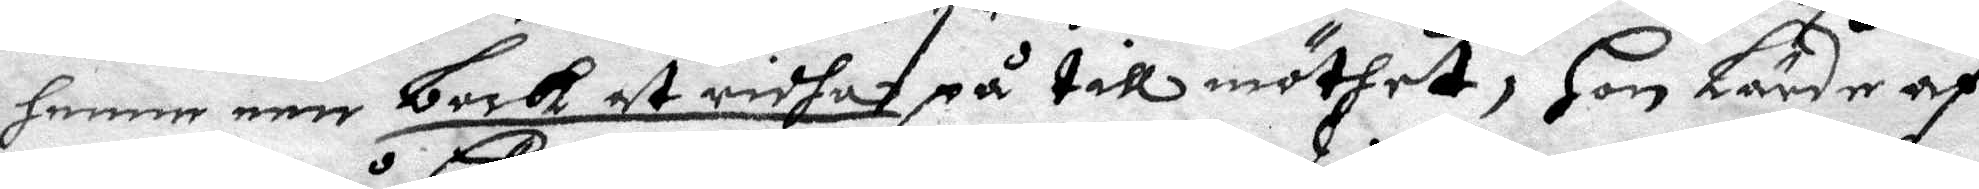henne een bock at ridha på till möthet, Hon Lärde af
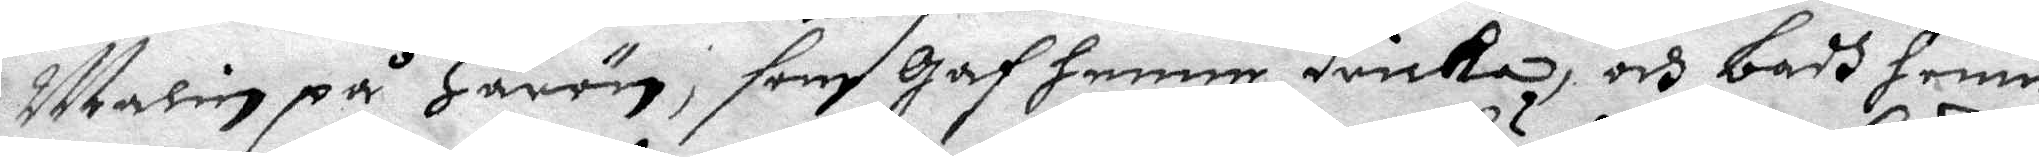Malin på Herön, som Gaf hennen dricka, och badh henne
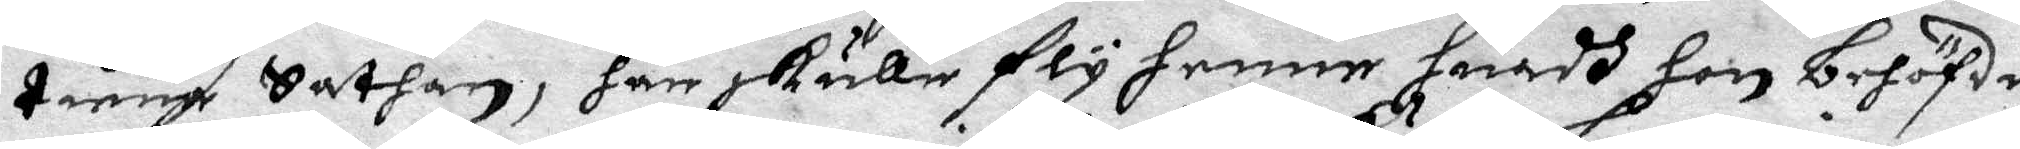tiena Sathan, han skulle fly henne huadh hon behöfde,
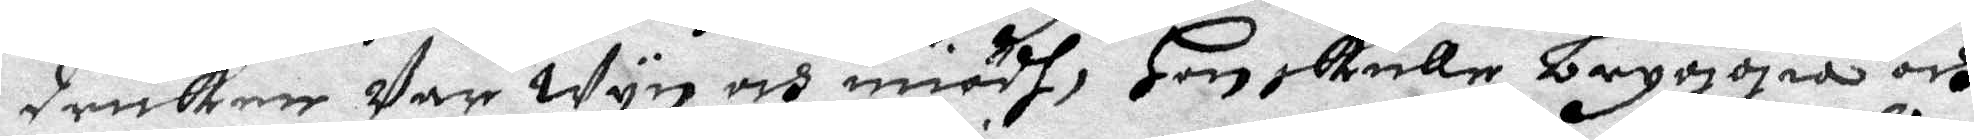dricken Var Wyn och miödh, Hon skulle bryggia och
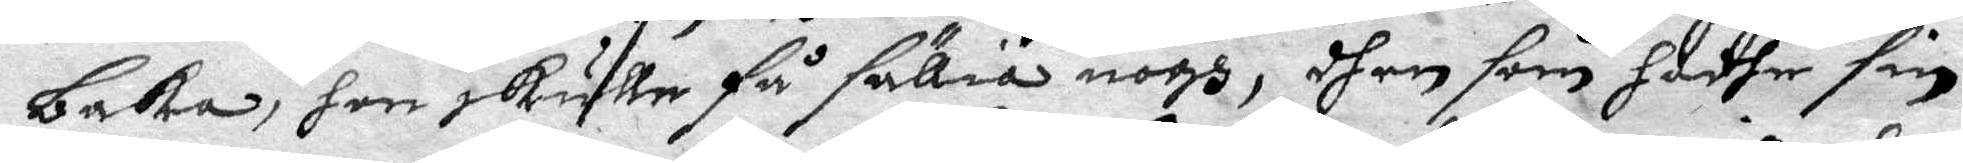baka, hon skulle få sällia nogh, dhen som hadhe sin
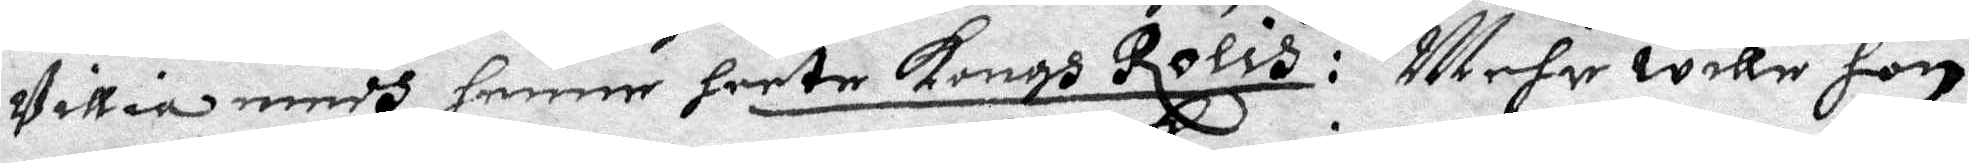Villia medh henne heete Kongh Rolis: Mehr wille hon
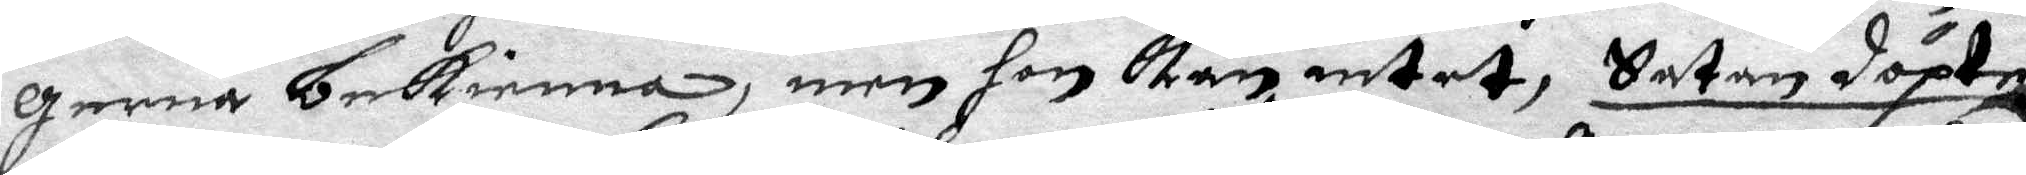gerna bekienna, men hon kan intet, Satan döpte
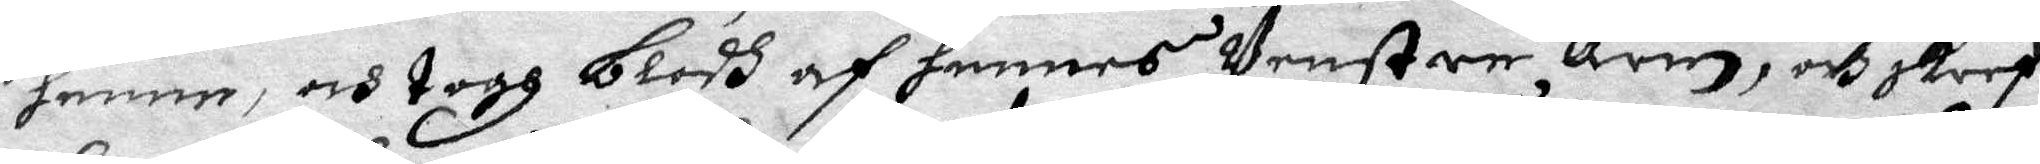henne, och togh blodh af hennes Venstre Arm, och skref
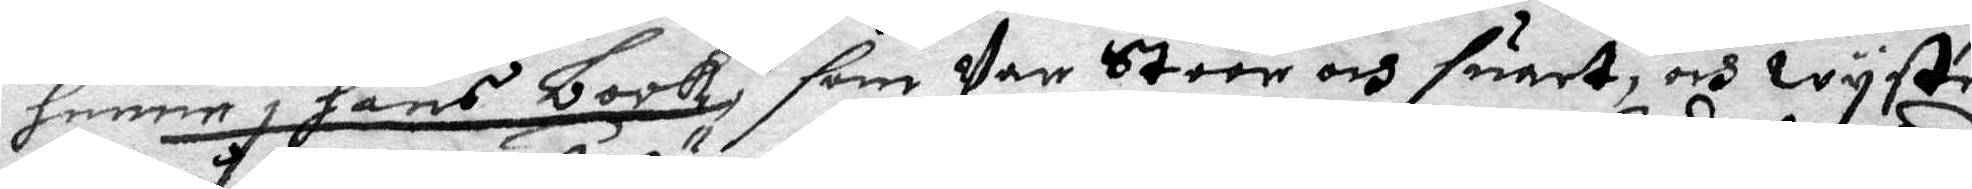henne i Hans book, som Var stoor och suart, och wyste
